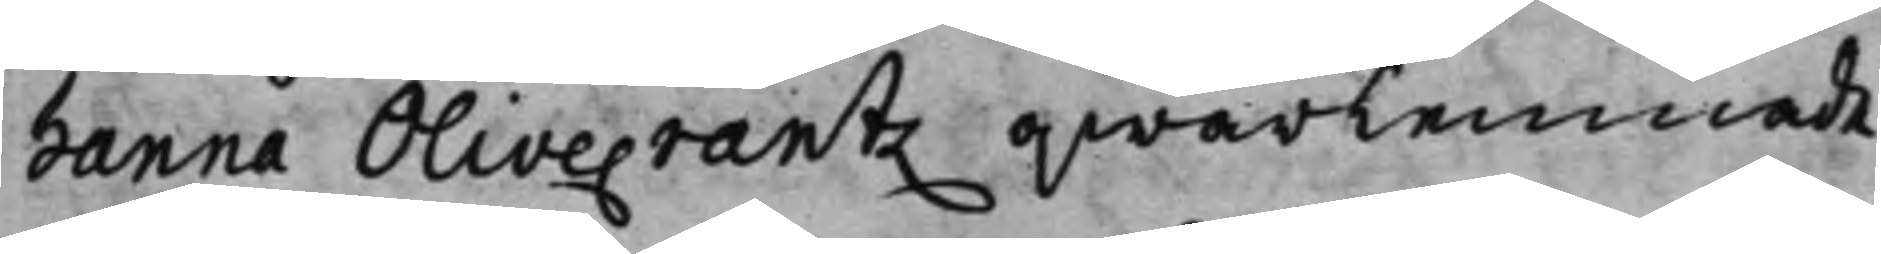hanna Olivecrantz qwarlemnade
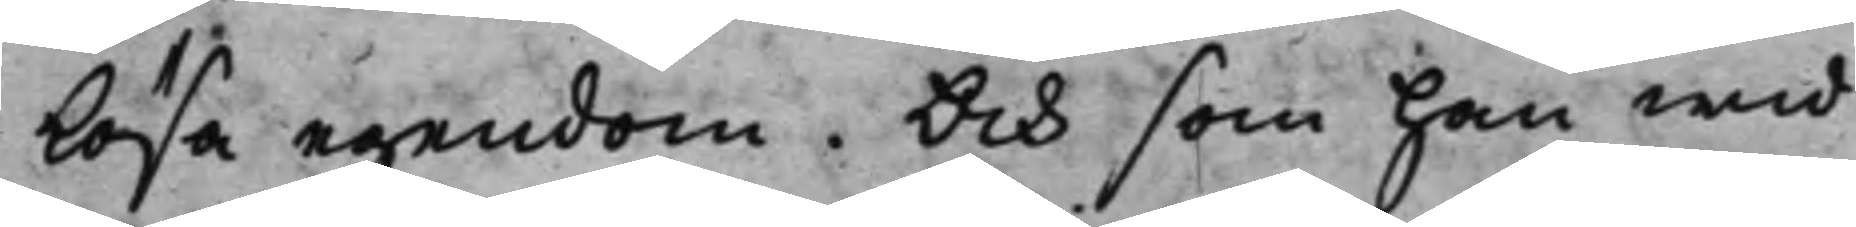Lösa egendom. Och som han wid
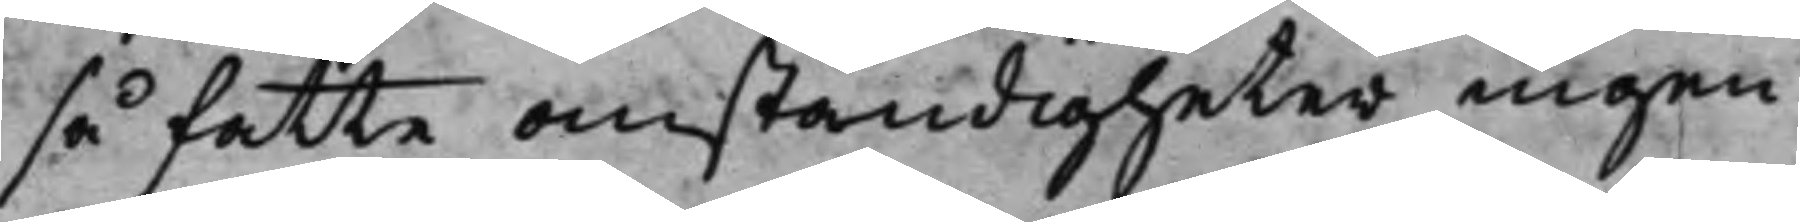så fatte anständigheter ingen
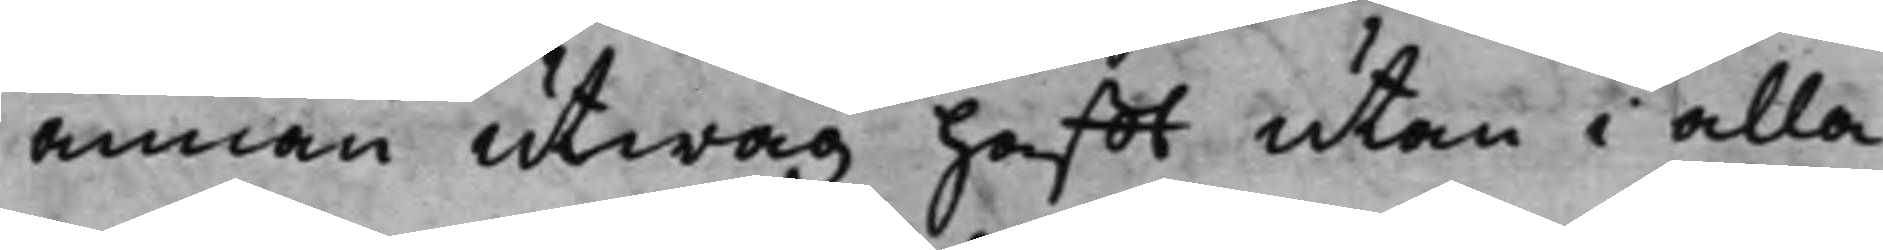annan utwäg hafft utan i alla
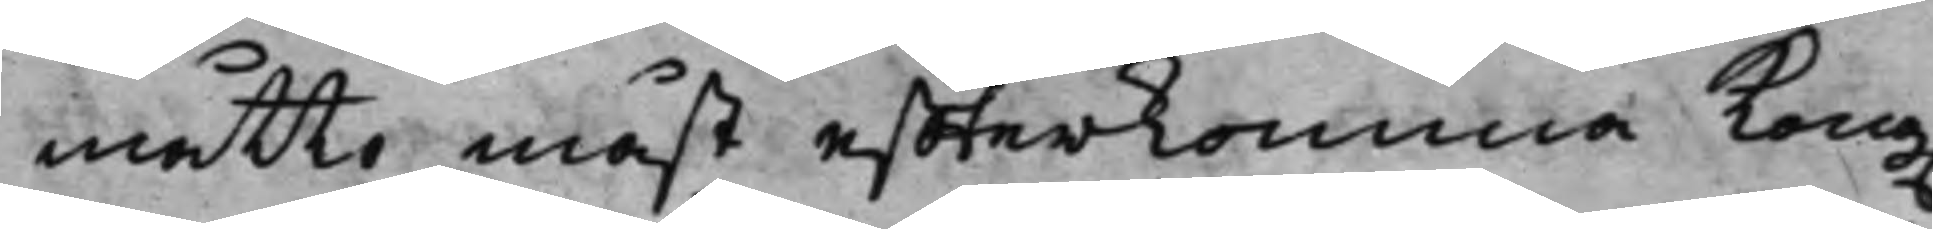måtto måst effterkomma Kong.
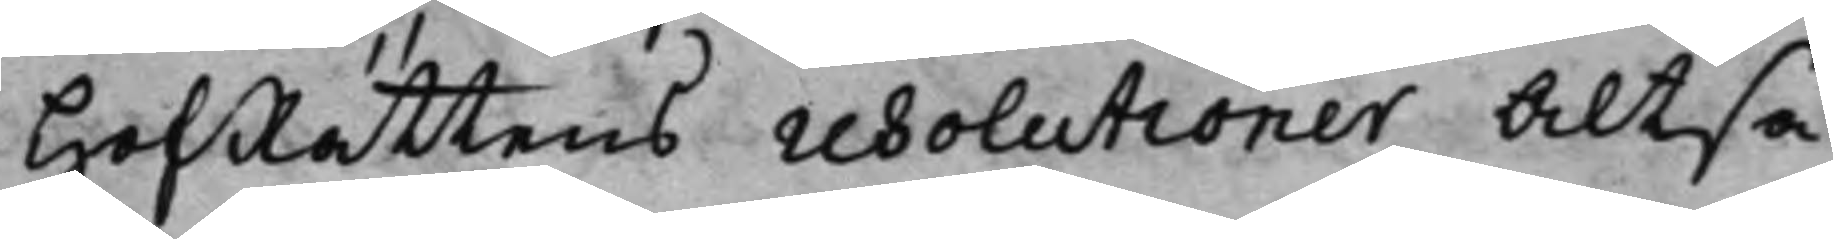HofRättens resolutioner altså
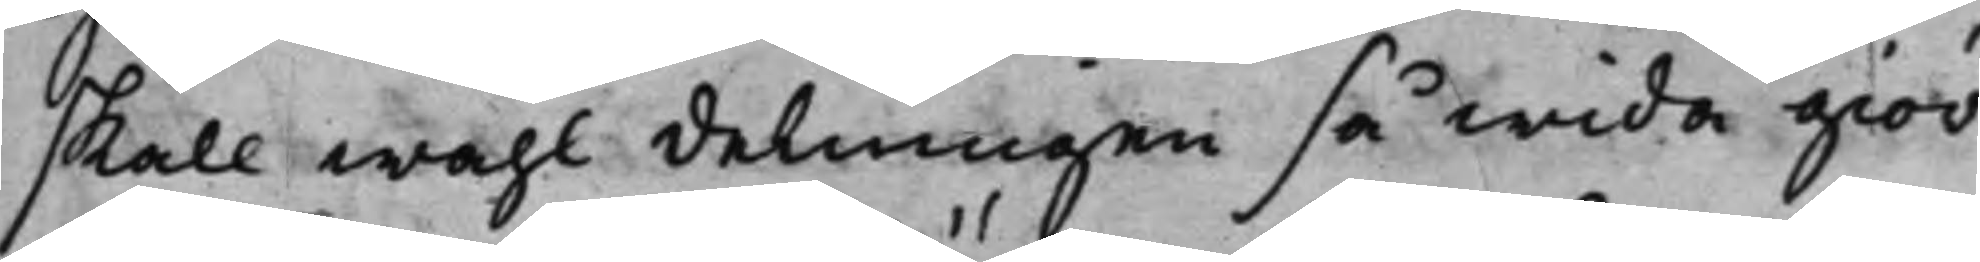skall wähl delningen så wida giör¬
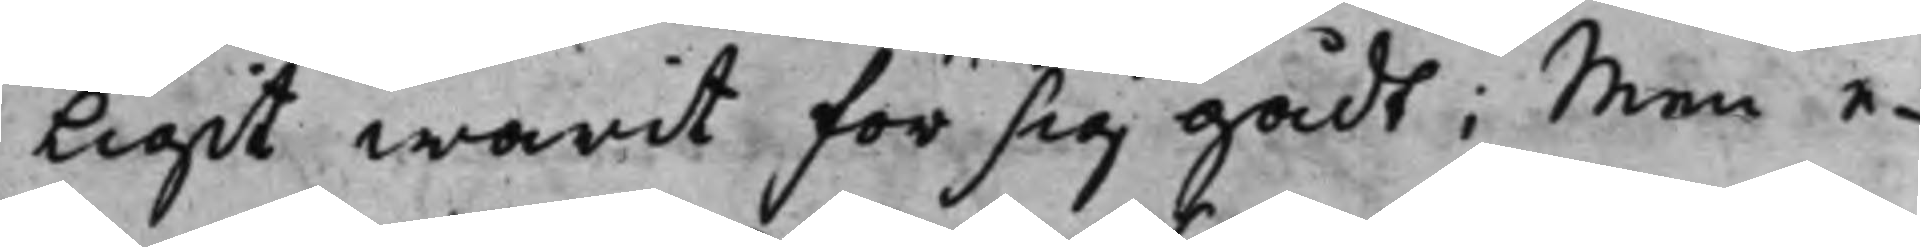ligit warit för sig gådt; Men e¬
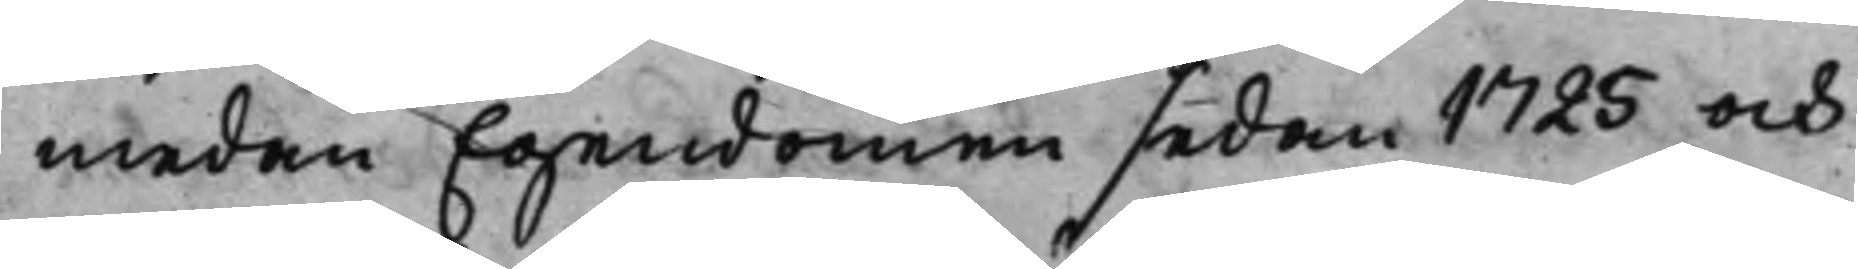medan Egendomen sedan 1725 och
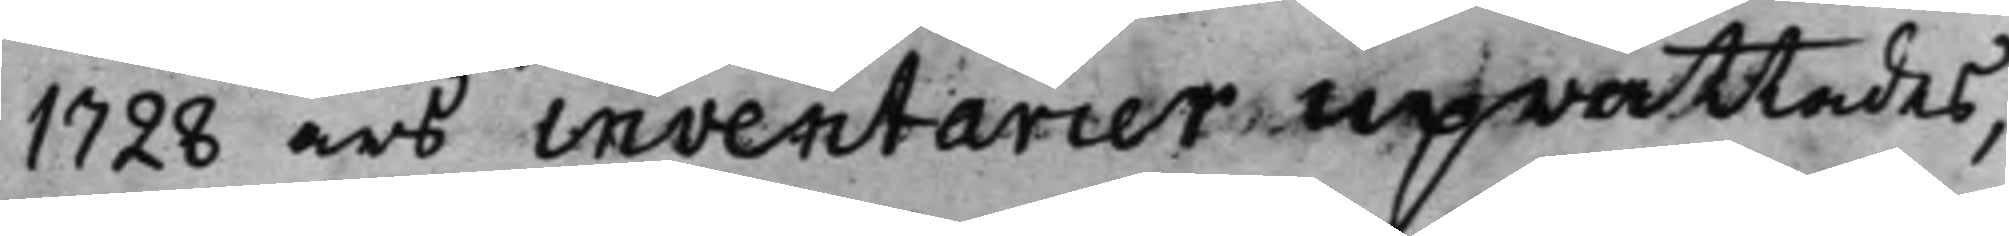1728 års inventarier uprättades,
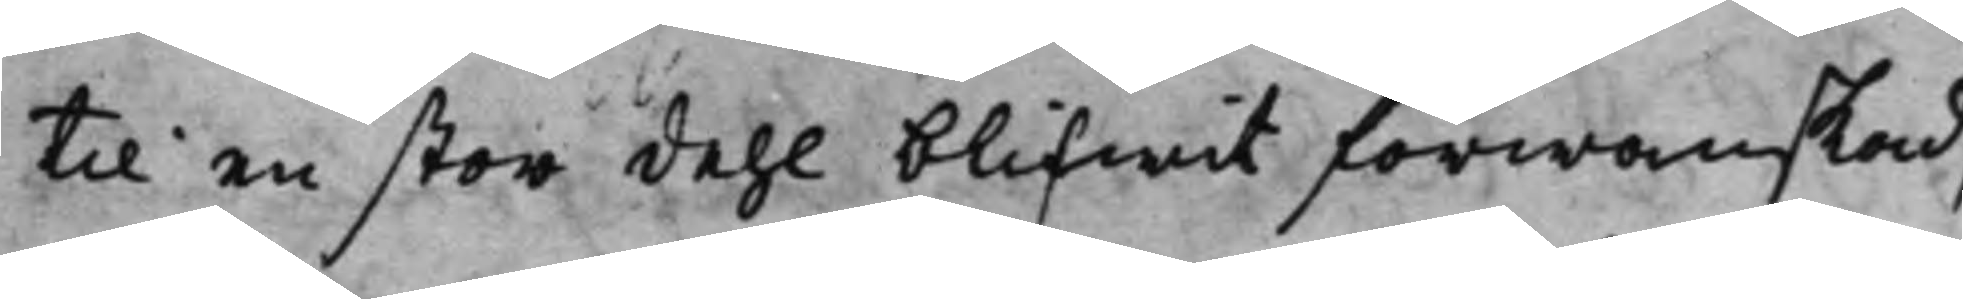til en stor dehl blifwit förwanskad,
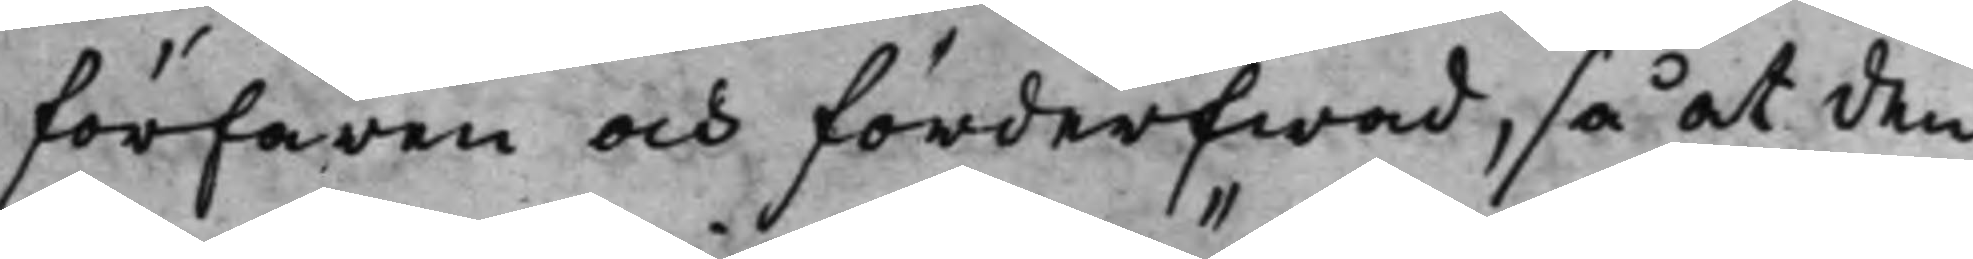förfaren och förderfwad, så at den
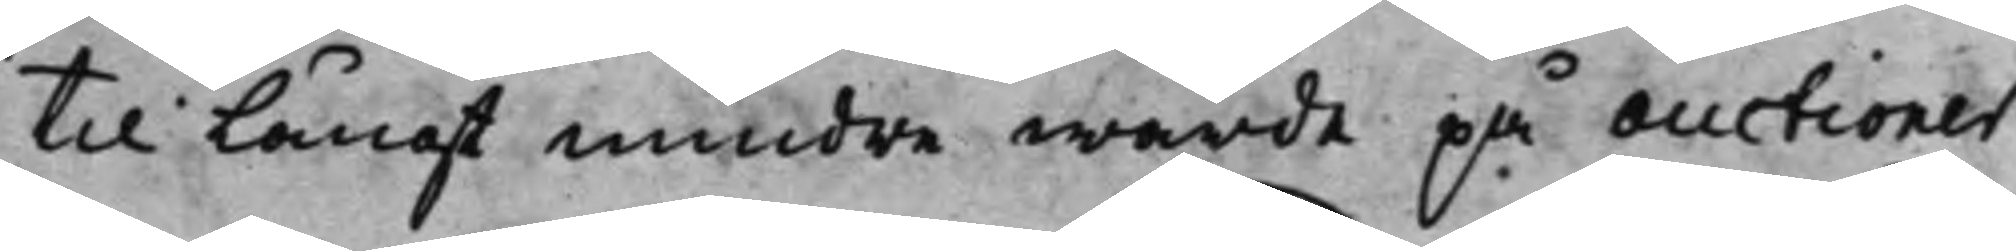til Långt mindre wärde på auctioner
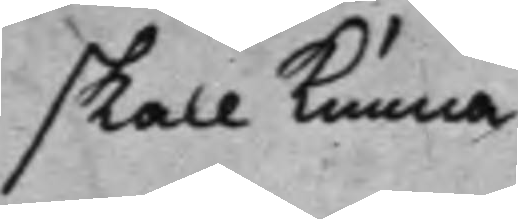skall kunna
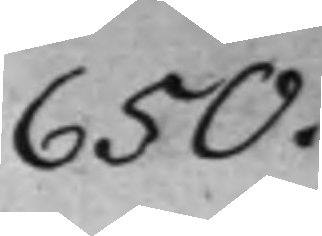650.
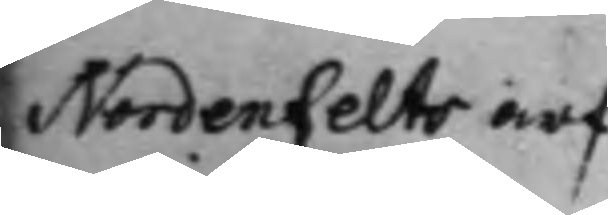Nordenfelts arf¬
